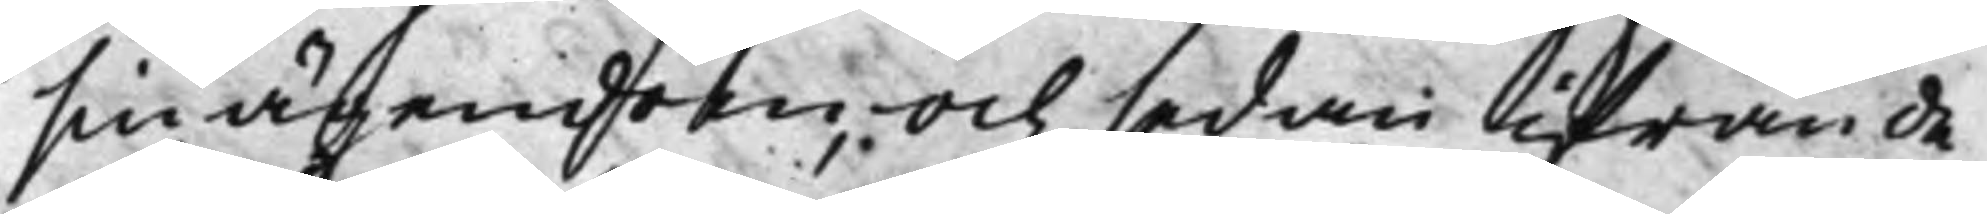sin ägendom, och sedan ifrån de¬
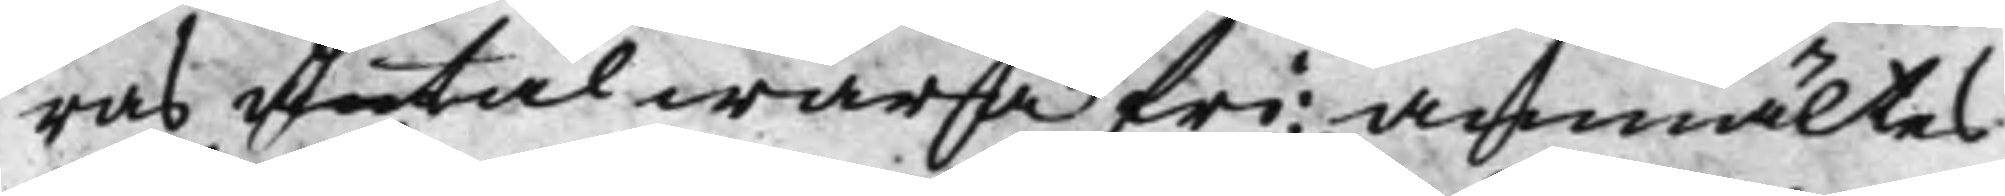ras åtal wara fri; anmältes
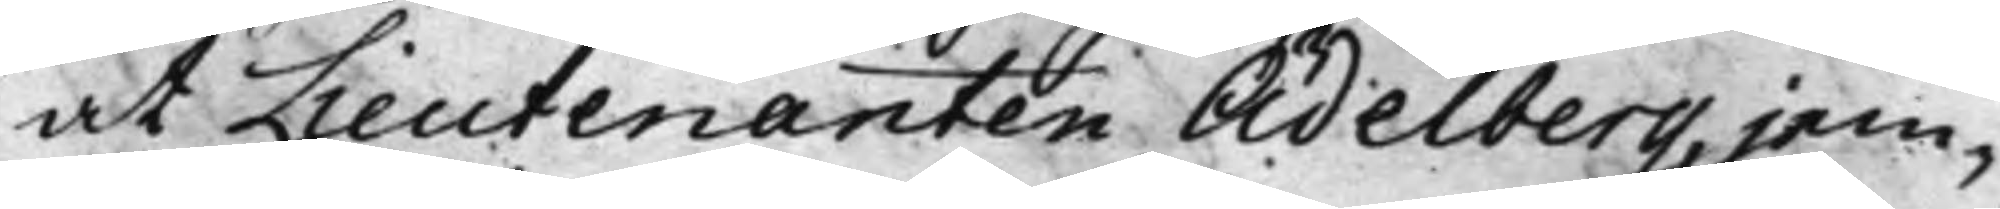at Lieutenanten Ädelberg, jem-
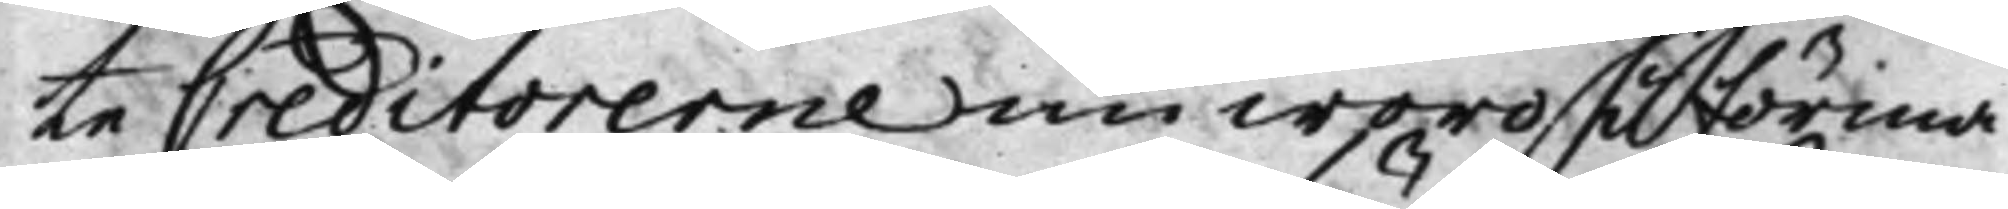te Creditorerne nu woro i förma¬
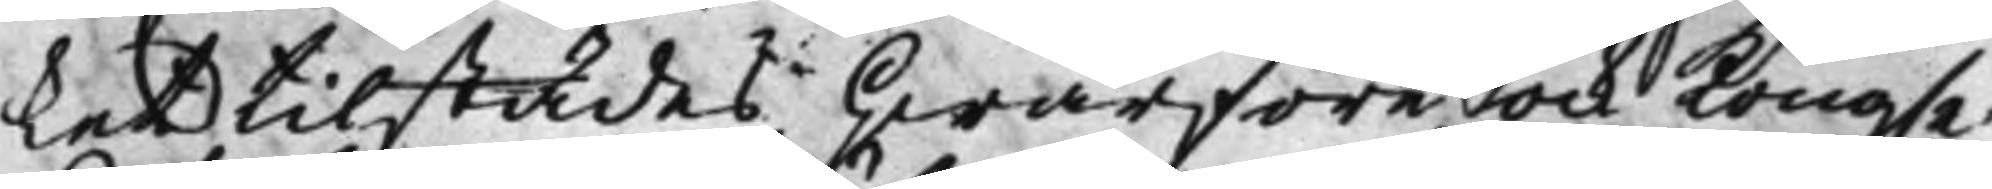ket tilstädes, hwarföre ock Kong.e
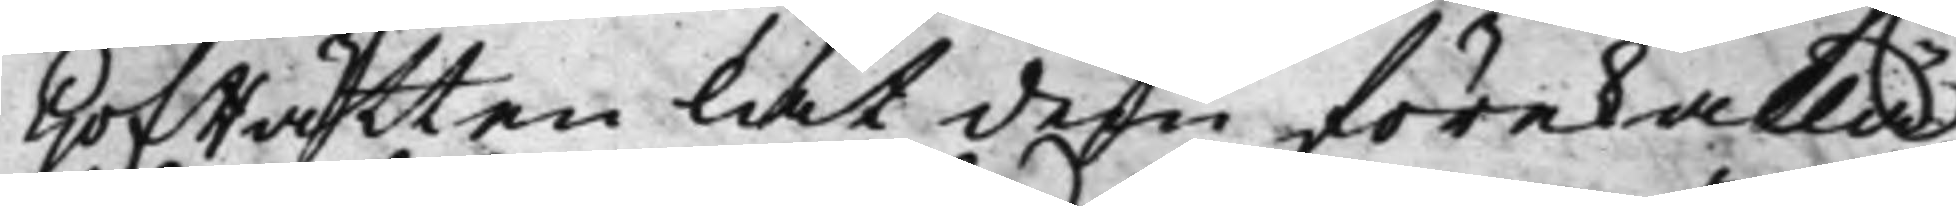HofRätten lät dem förekalla,
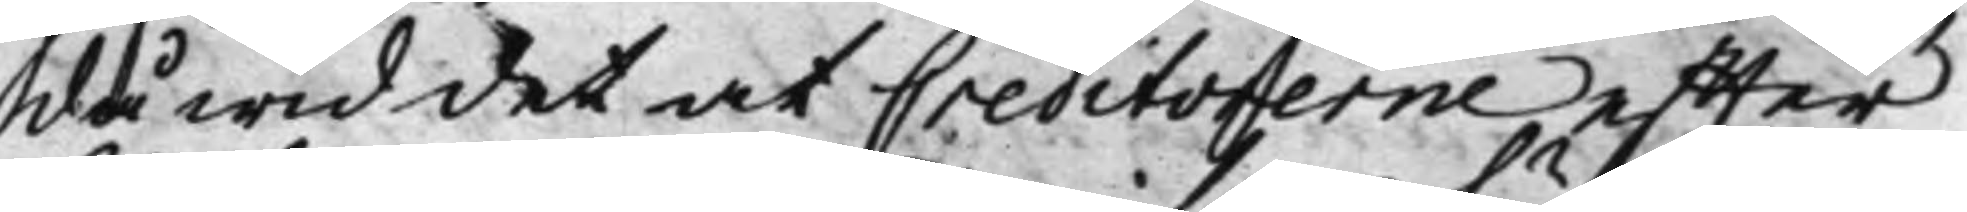då wid det at Creditorerne effter
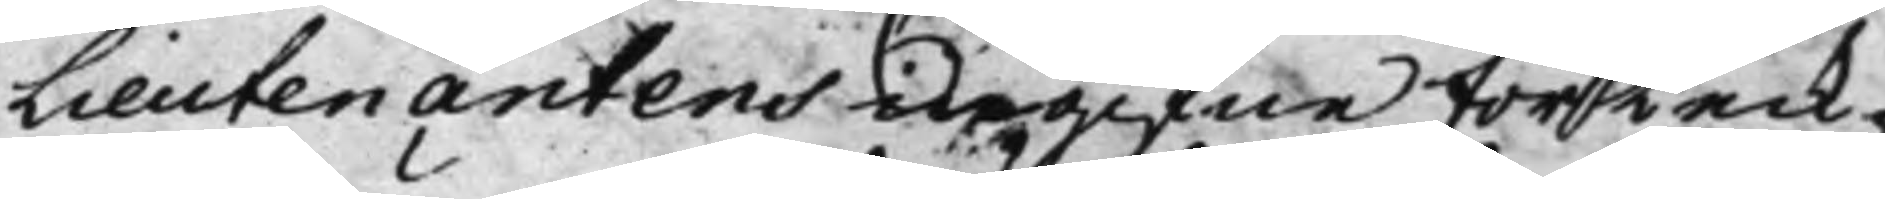Lieutenantens upgifne förteck¬
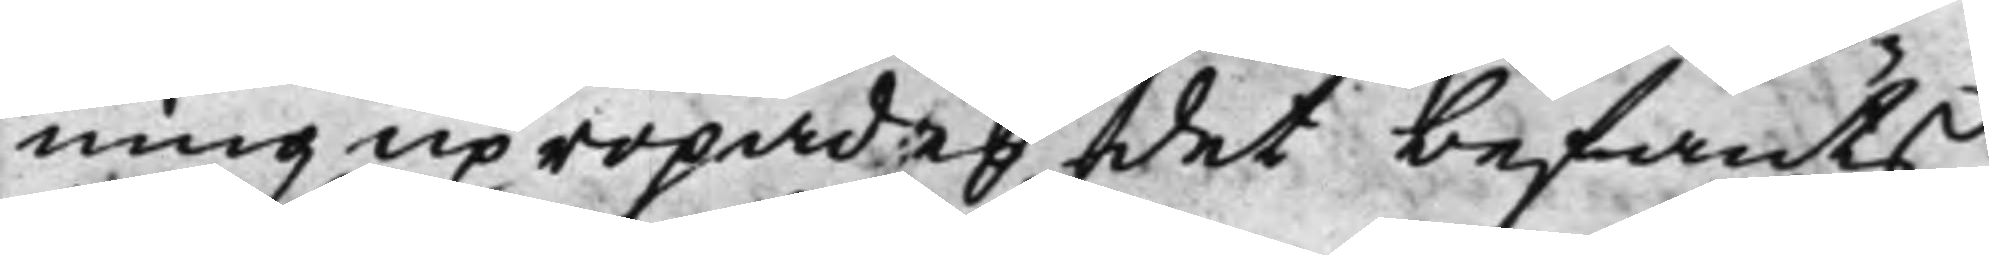ning upropades, det befants,
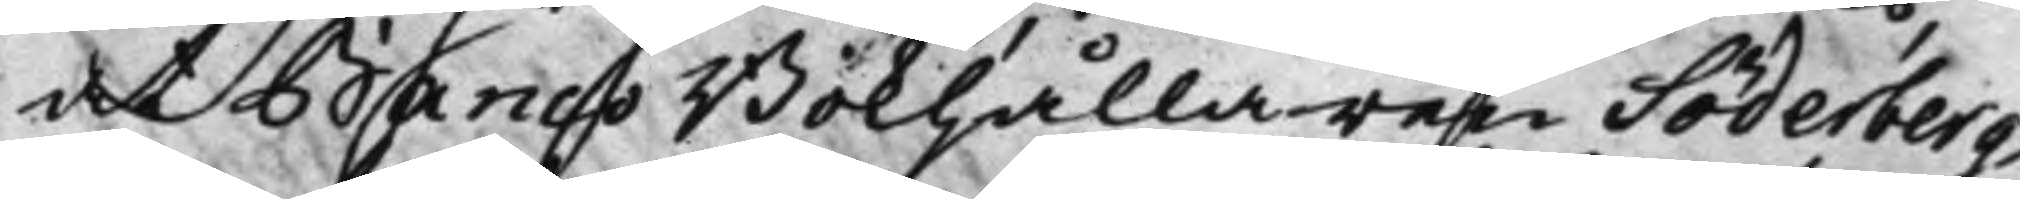at Banco Bokhållaren Söderberg,
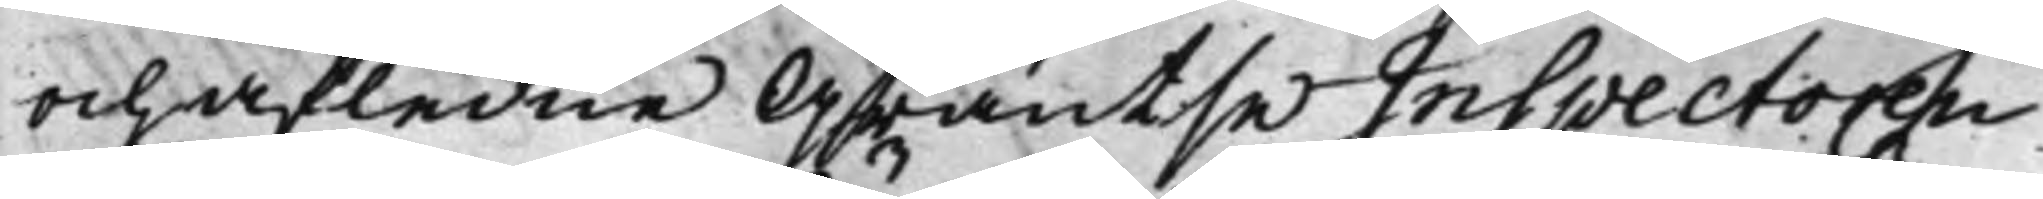och afledne Gräntse Inspectoren
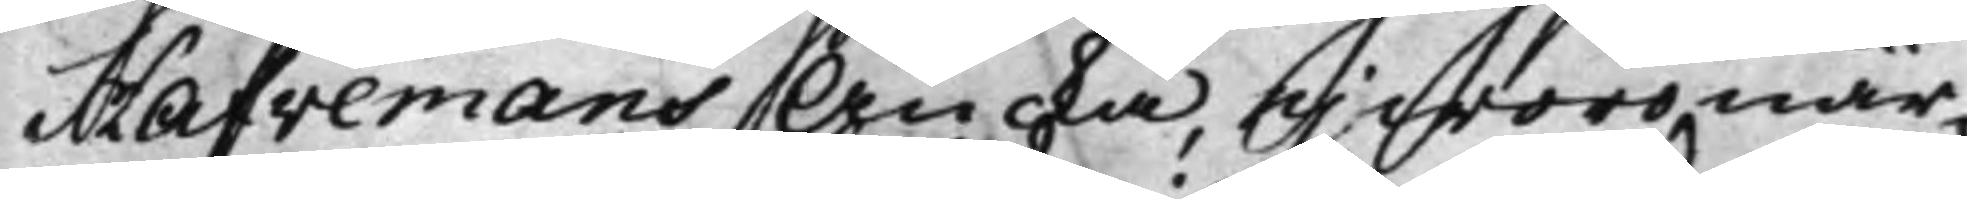Hafvemans Äncka, ej woro när¬
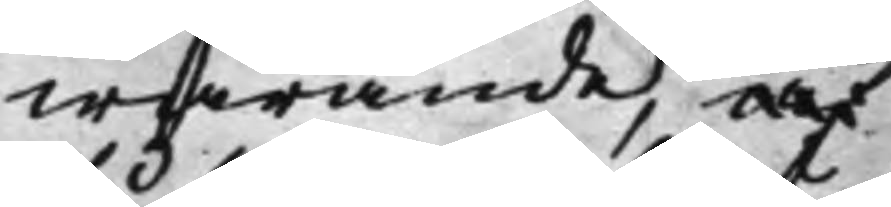warande, af
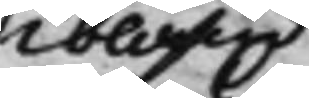ibland
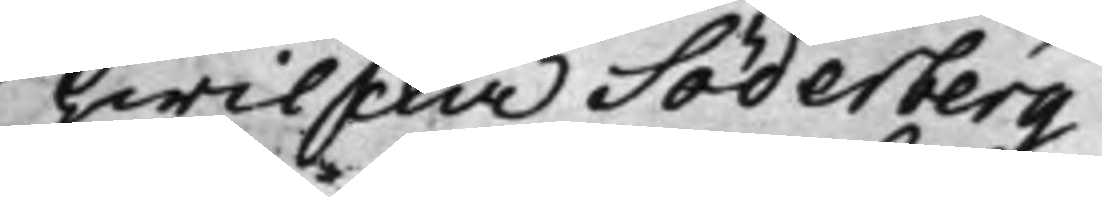hwilcka Söderberg
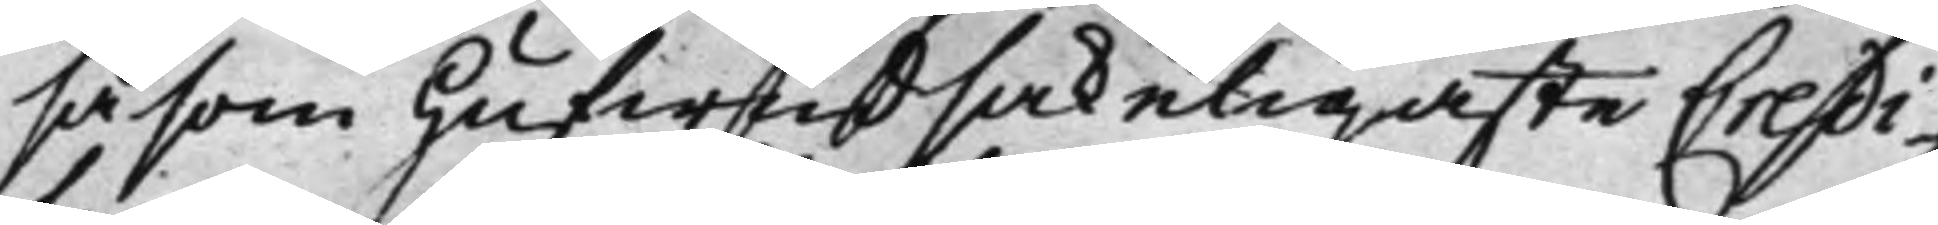såsom hufwudsakeligaste Credi¬
